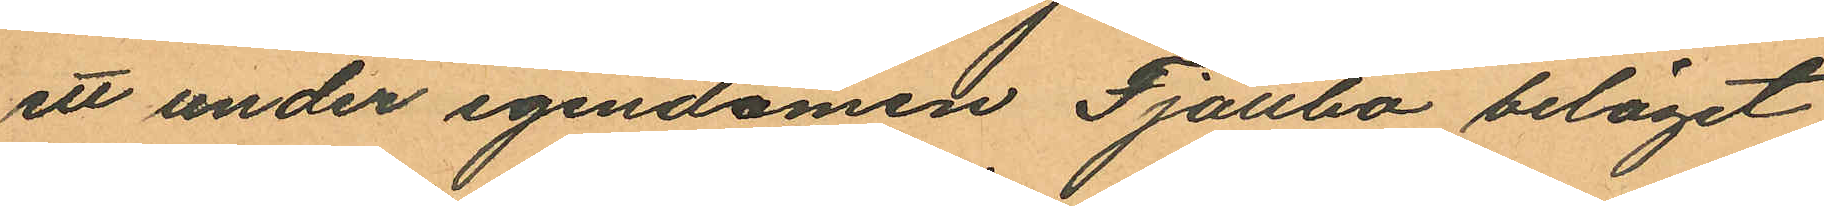ett under egendomen Fjällbo beläget
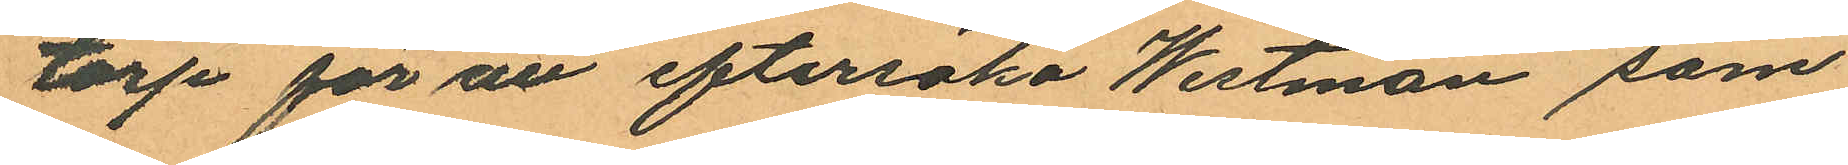torp för at eftersöka Westman som
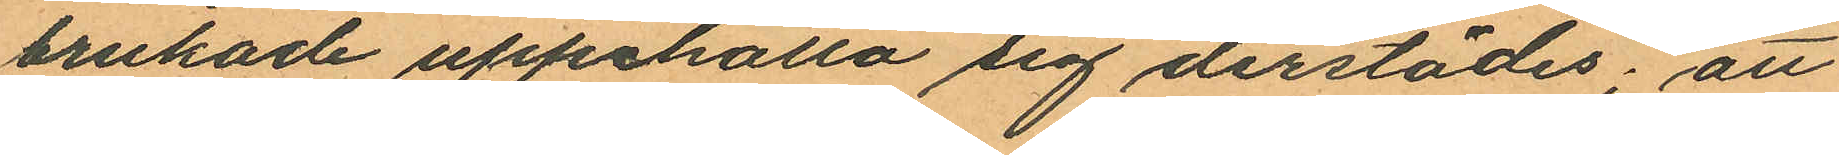brukad uppehålla sig derstädes; att
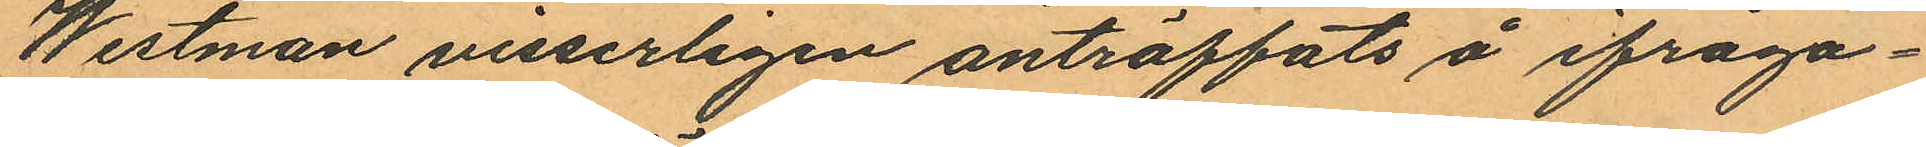Westman visserligen anträffats å ifråga¬
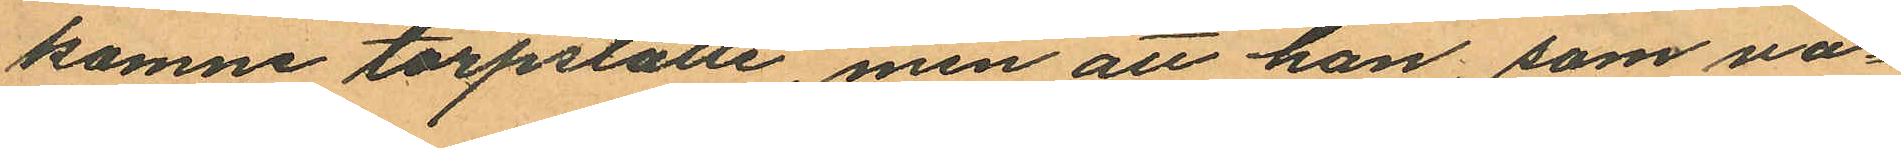komne torpställe, men att han, som va¬
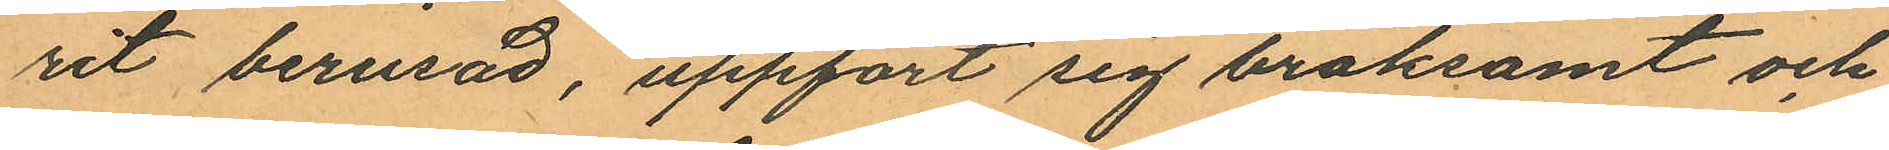rit berusad, uppfört sig bråksamt och
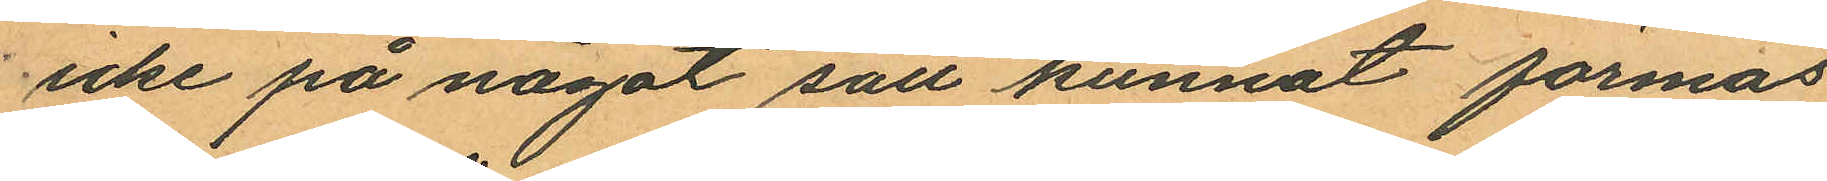icke på något sätt kunnat förmås
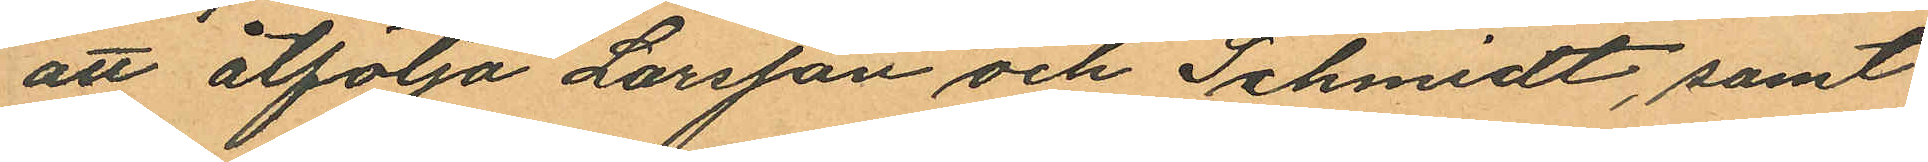att åtfölja Larsson och Schmidt, samt
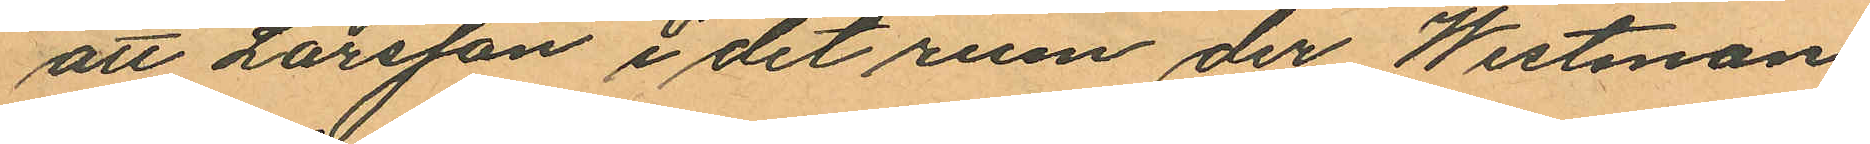att Larsson i det rum der Westman
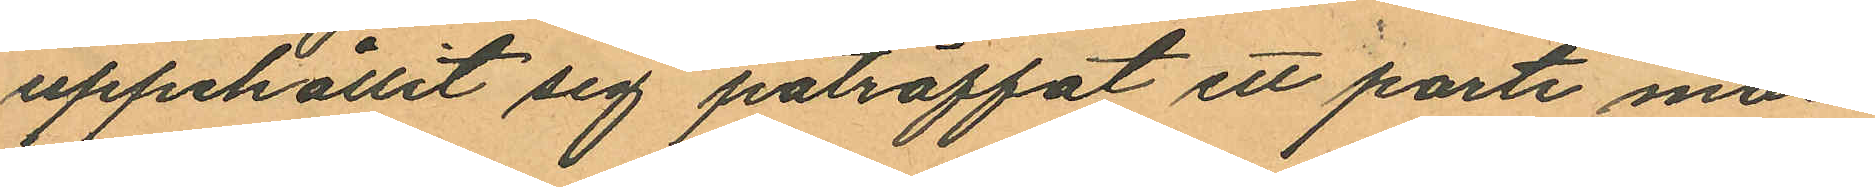uppehållit sig påträffat ett parti mar¬
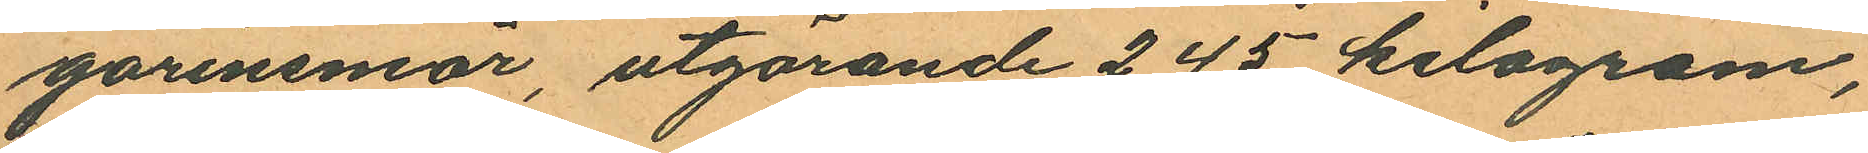garinsmör, utgörande 2,45 kilogram,
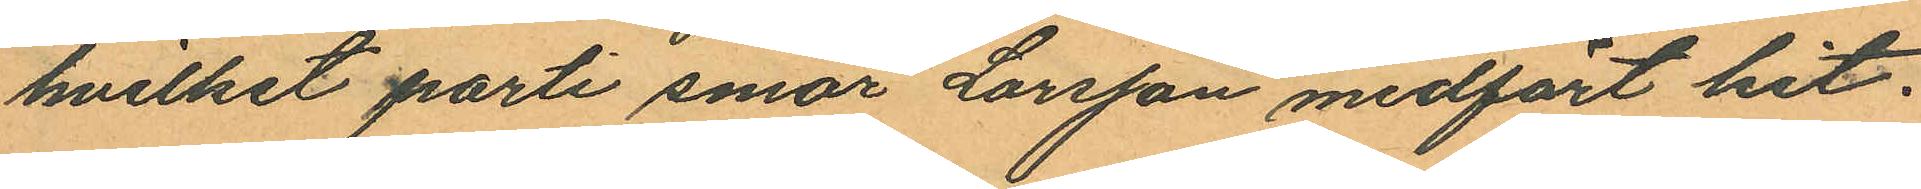hvilket parti smör Larsson medfört hit.
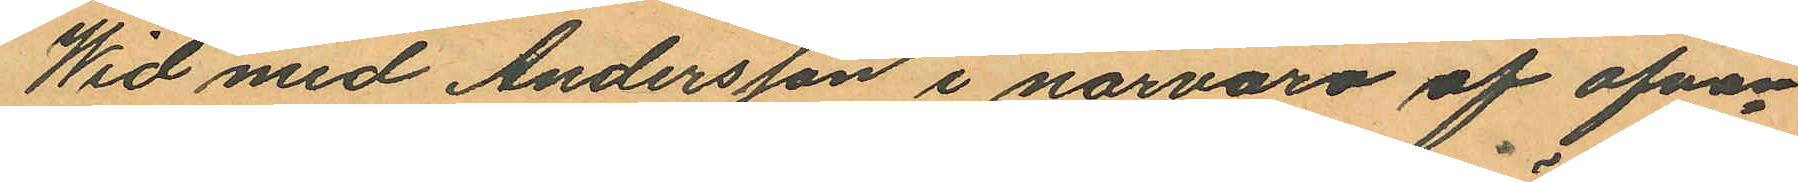Wid med Andersson i närvaro af ofvan¬
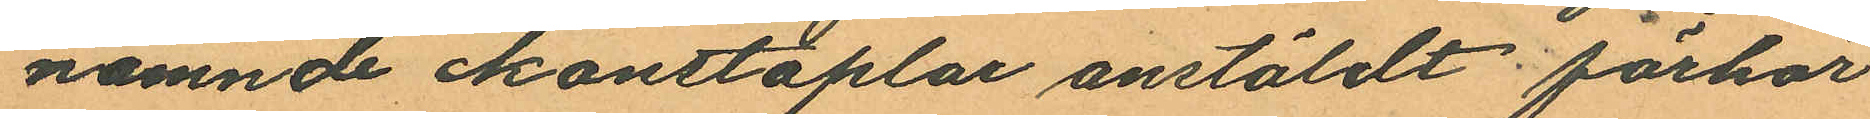namnde konstaplar anstäldt förhör
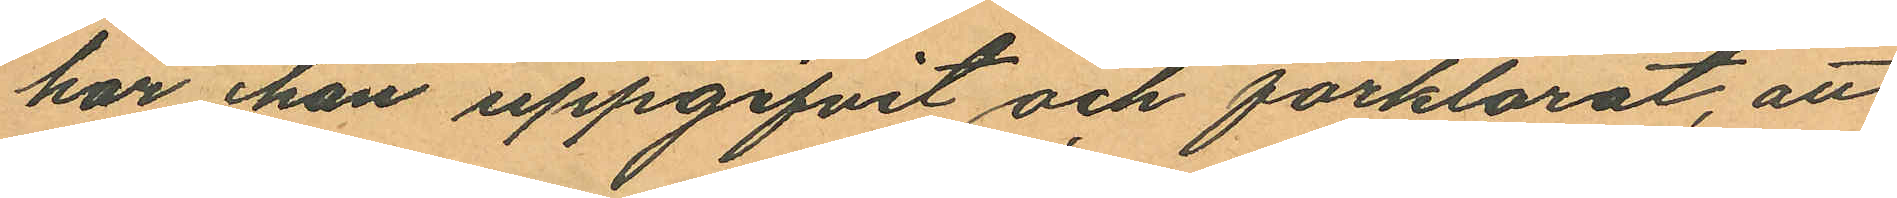har han uppgifvit och förklarat, att
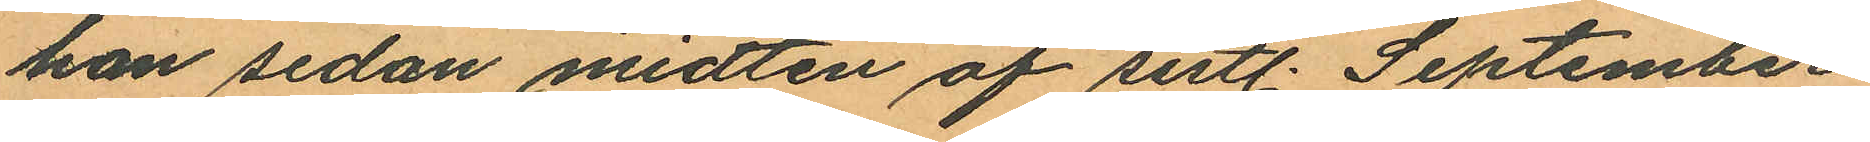han sedan midten af sistl. September
